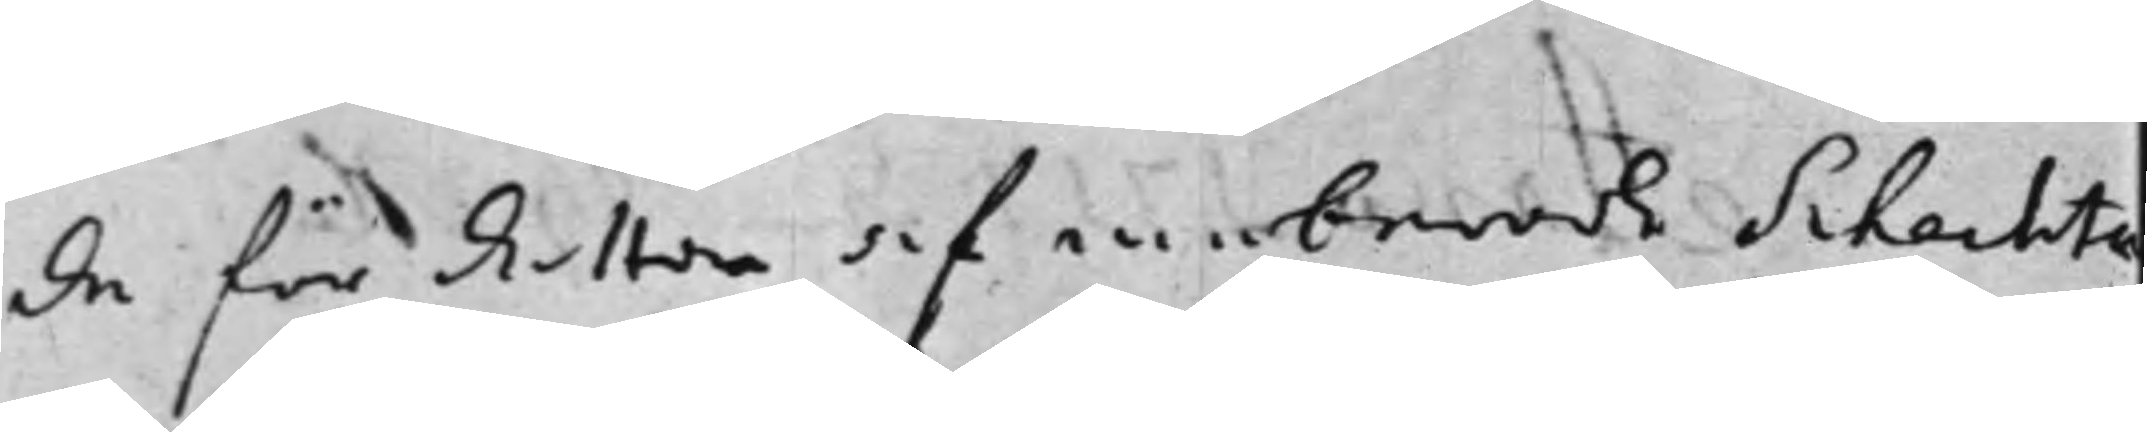de för Resten af meberörde Schachts
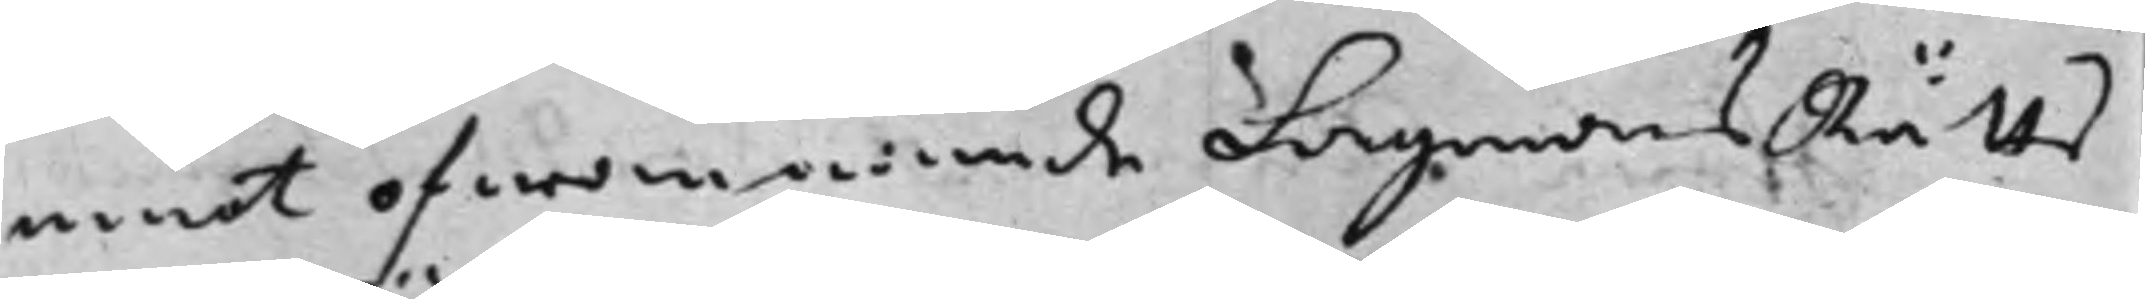emot ofwannämde Lagmans Rätts
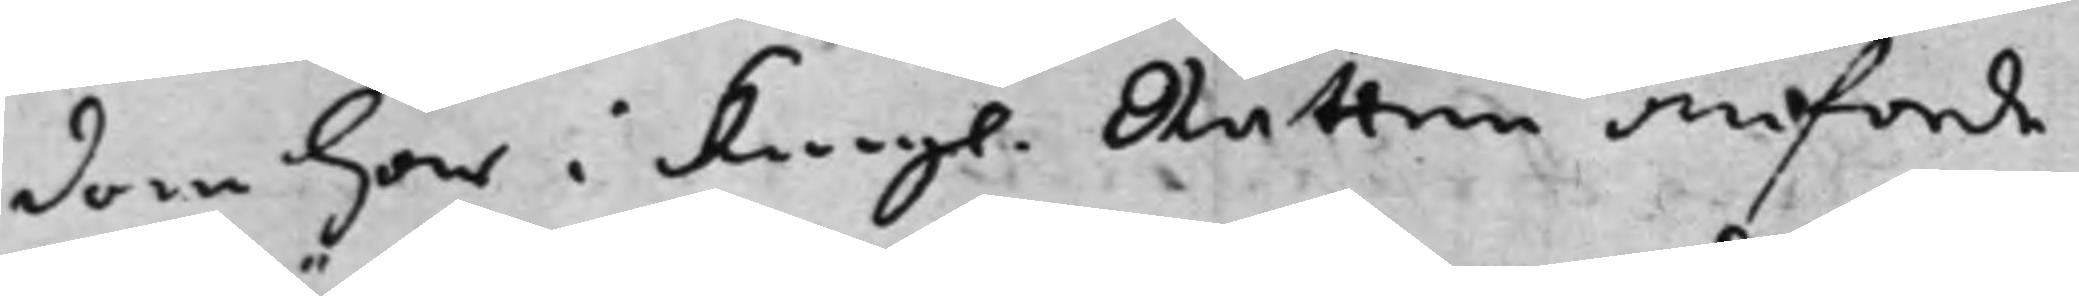dom här i Kongl. Rätten anförde 
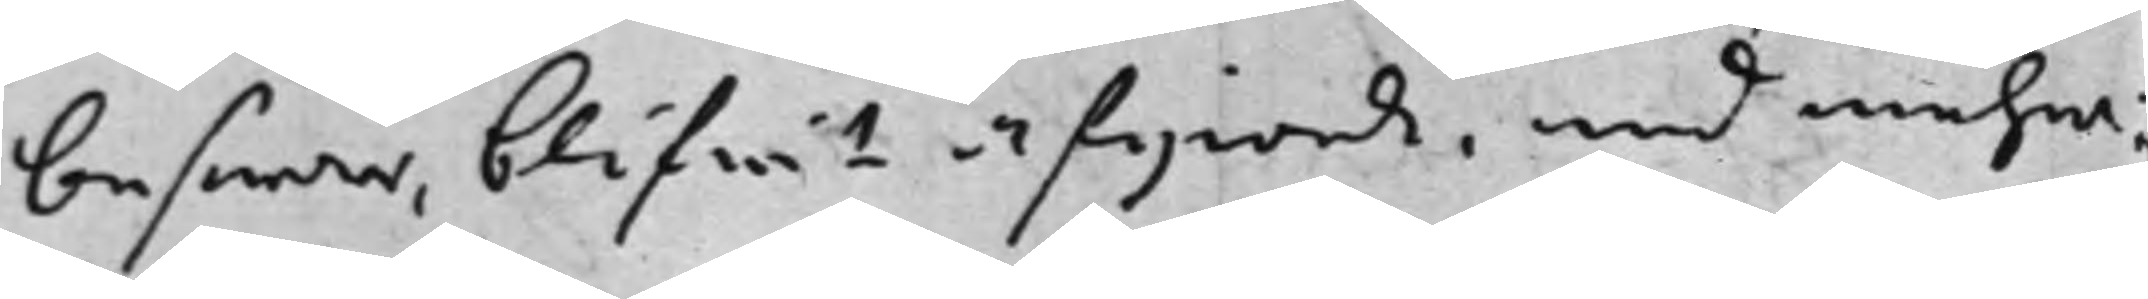beswär, blifwit afgiorde, med mehra:
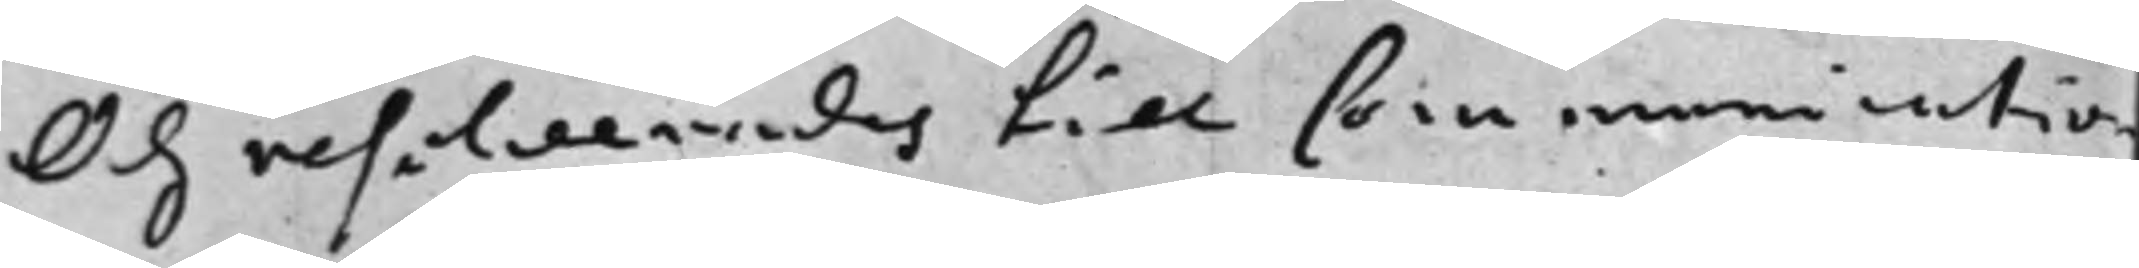Och resolwerades till Communication
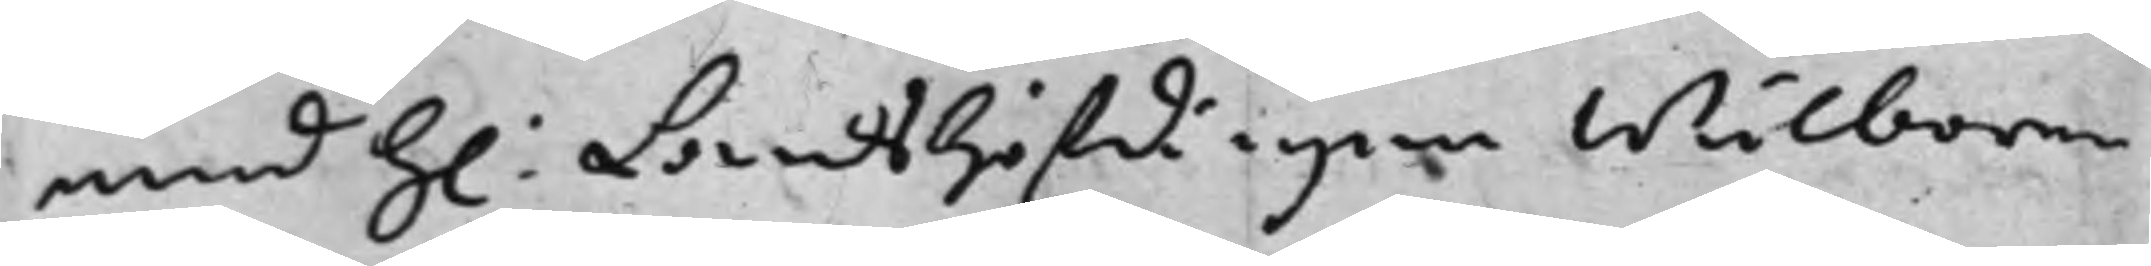med h: Landshöfdingen Wälborne 
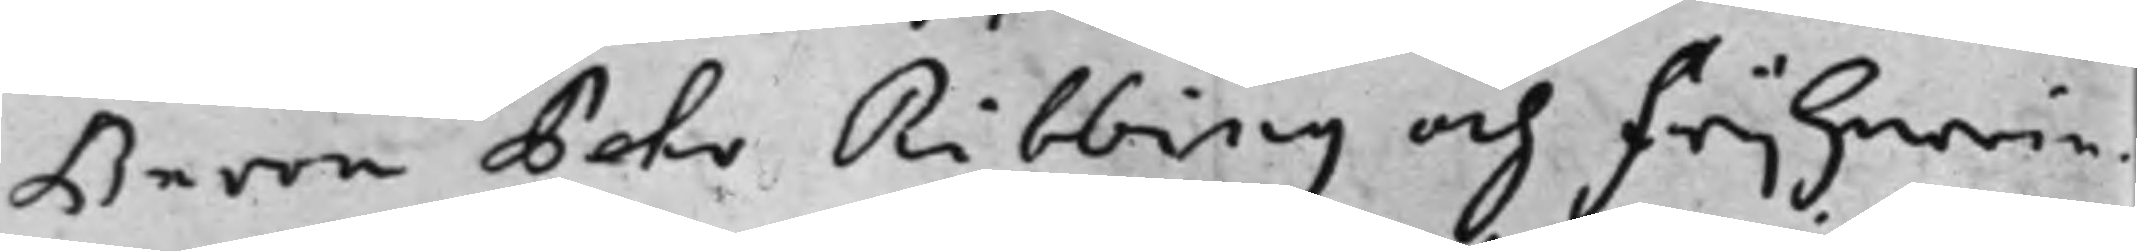Baron Pehr Ribbing och Frijherrin¬
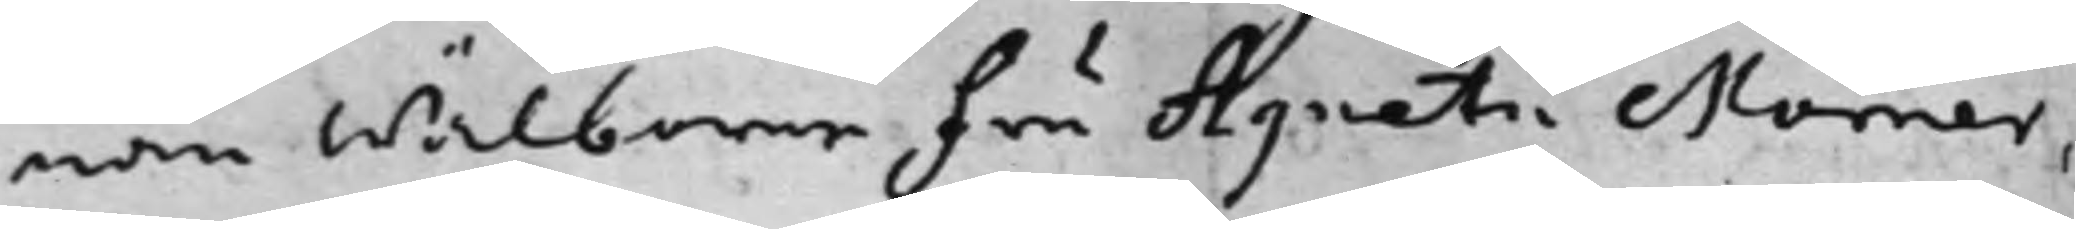nan Wälborne Fru Agneta Mörner,
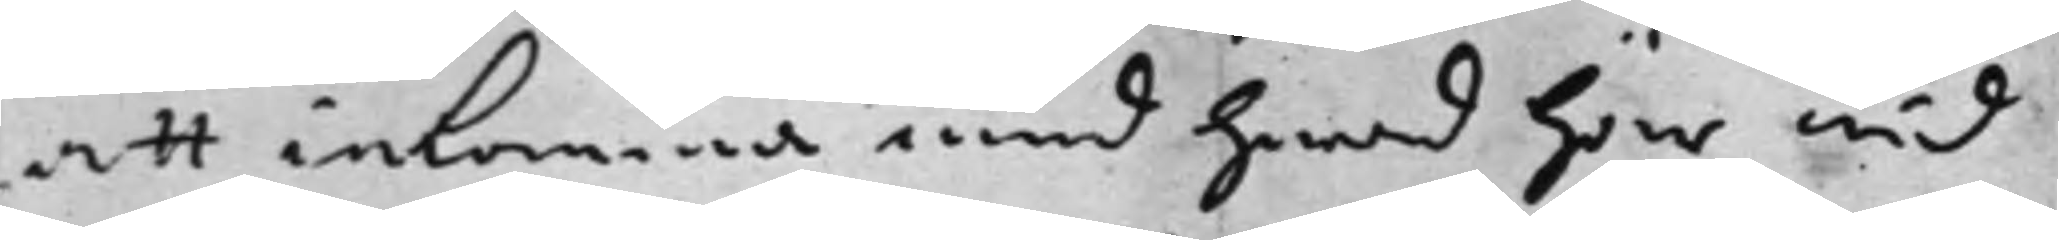att inkomma med hwad här wid
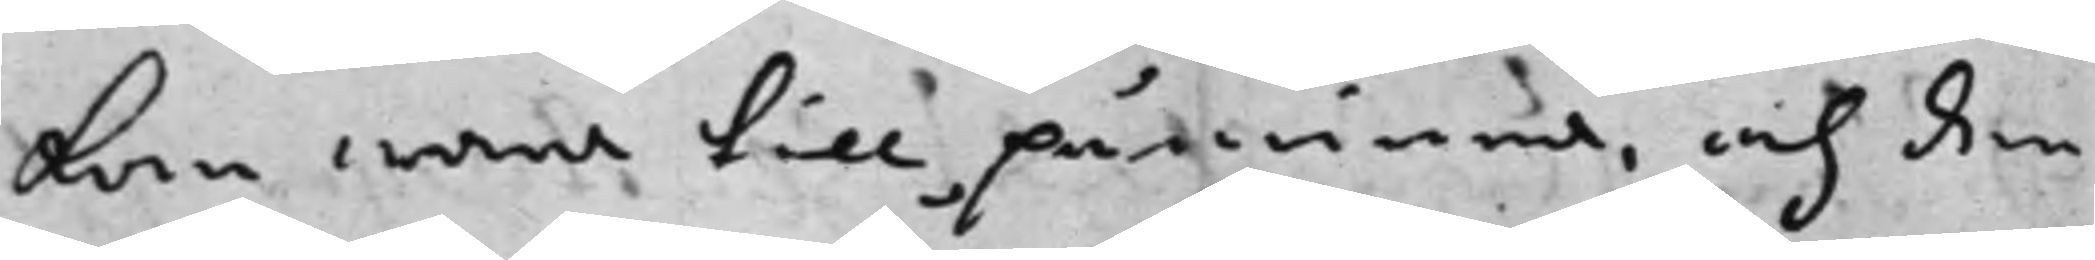kan wara till påminna, och den
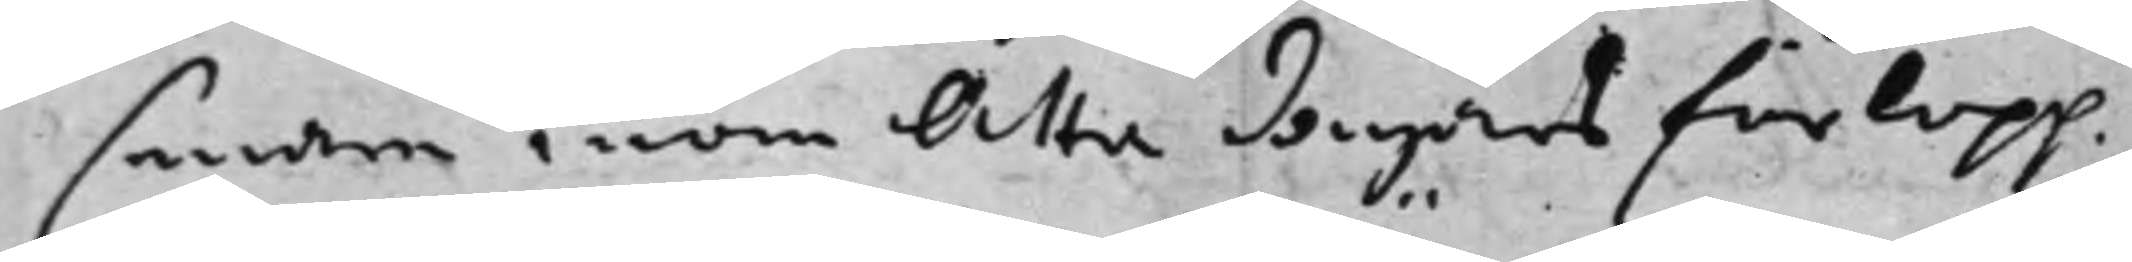senare inom Åtta dagars förlopp
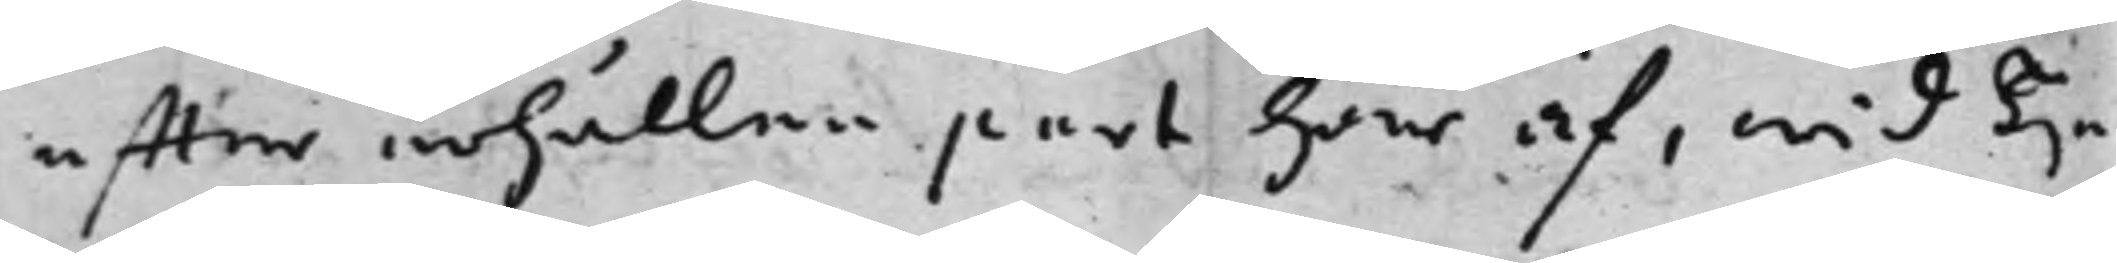effter erhållen part här af, wid Tije
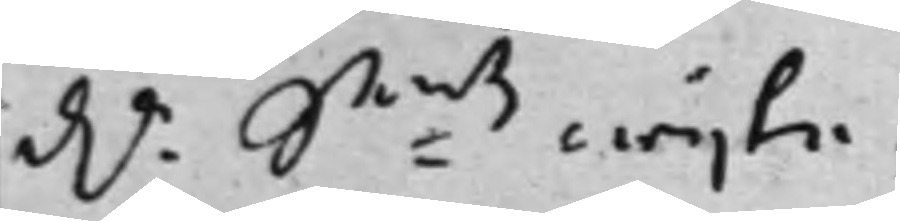d.r S:mts wijte. 
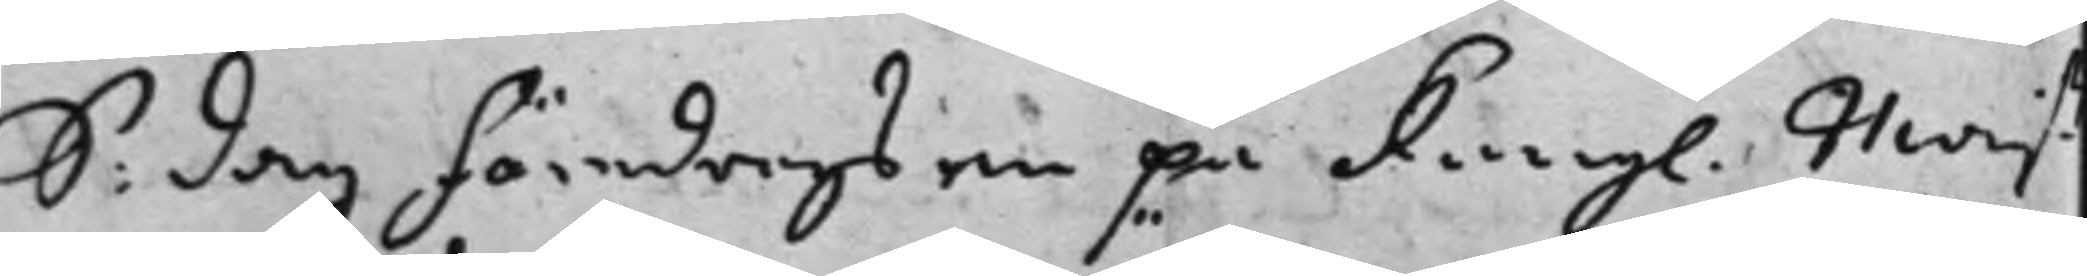S: dag föredrogs en på Kongl. Majß. 
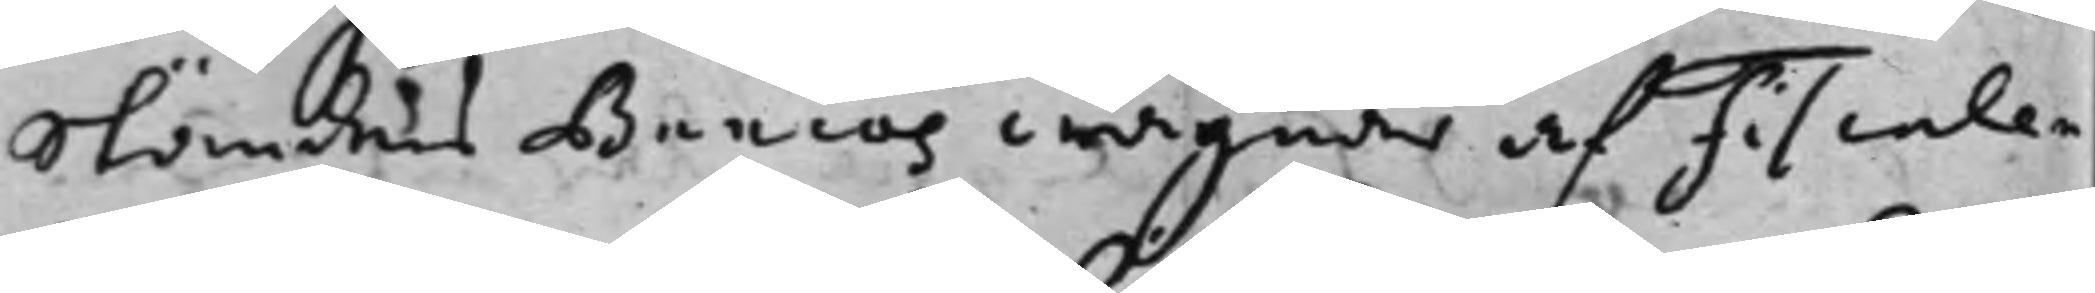Ständers Bancos wägnar af Fiscalen
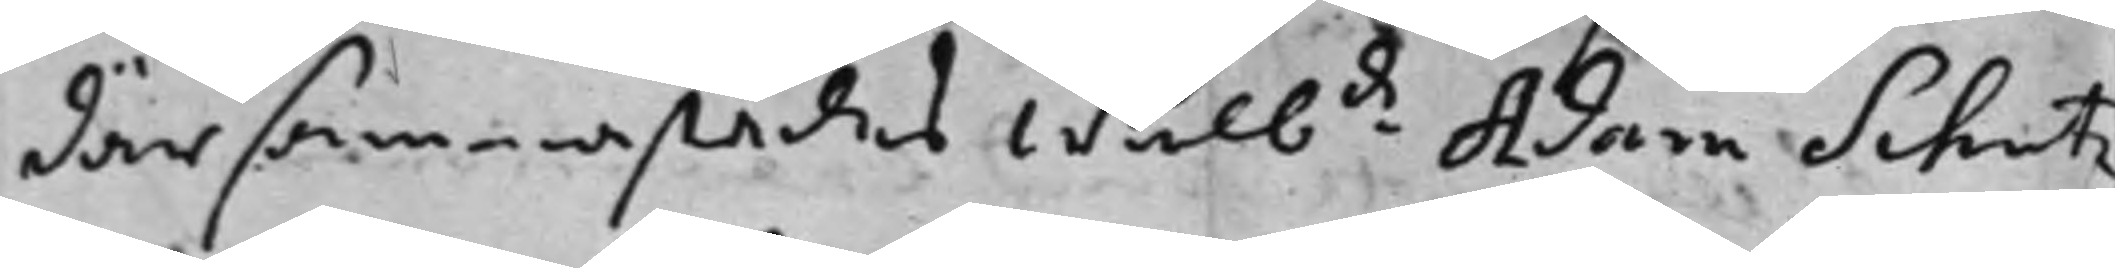där sammastädes Wälb:de Adam Schutz 
